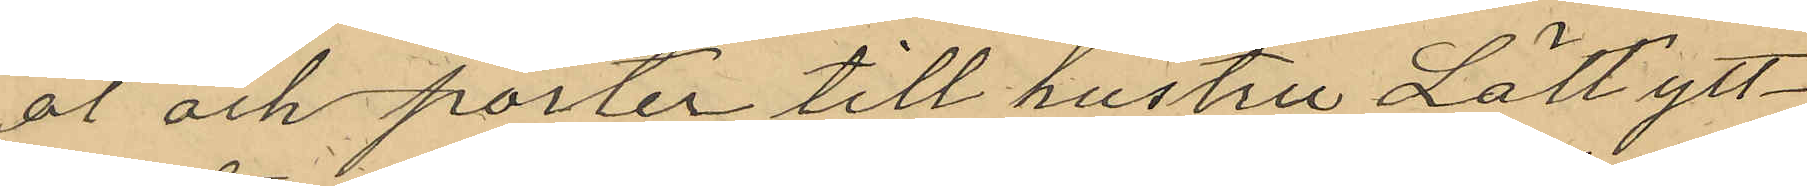öl och porter till hustru Lätt ytt¬
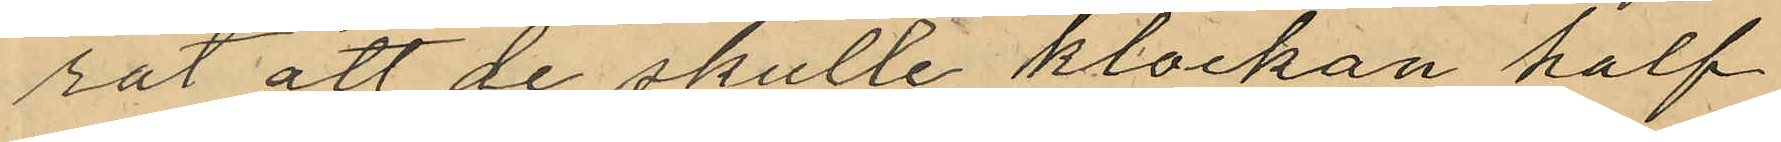rat att de skulle klockan half
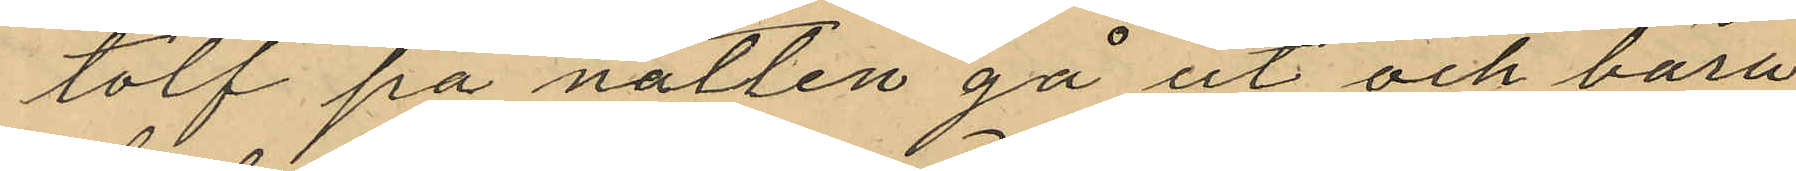tolf på natten gå ut och bära
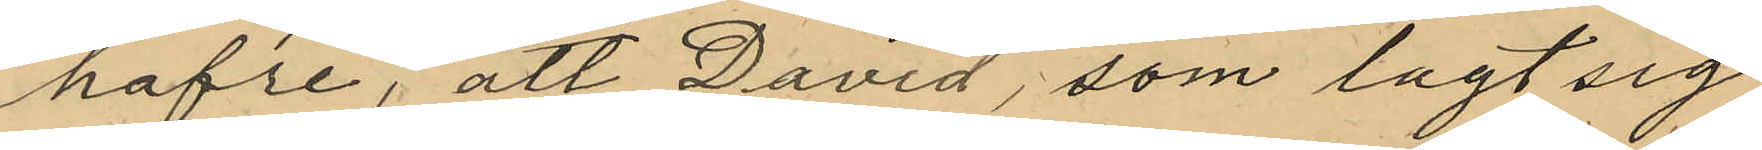hafre, att David, som lagt sig
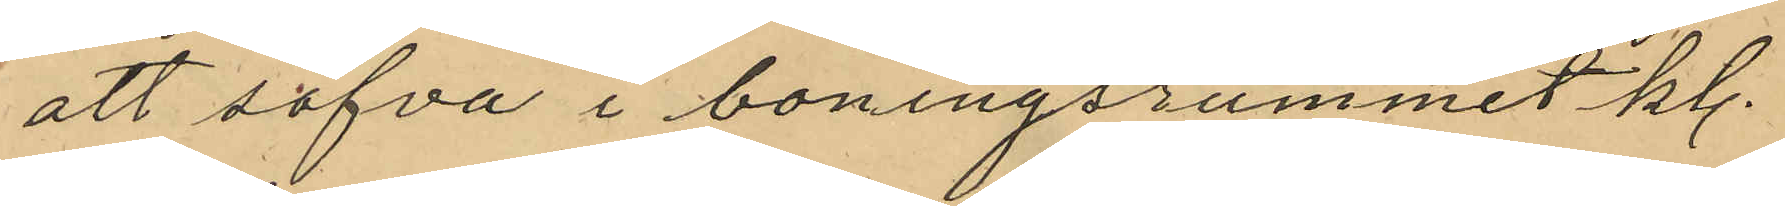att sofva i boningsrummet kl.
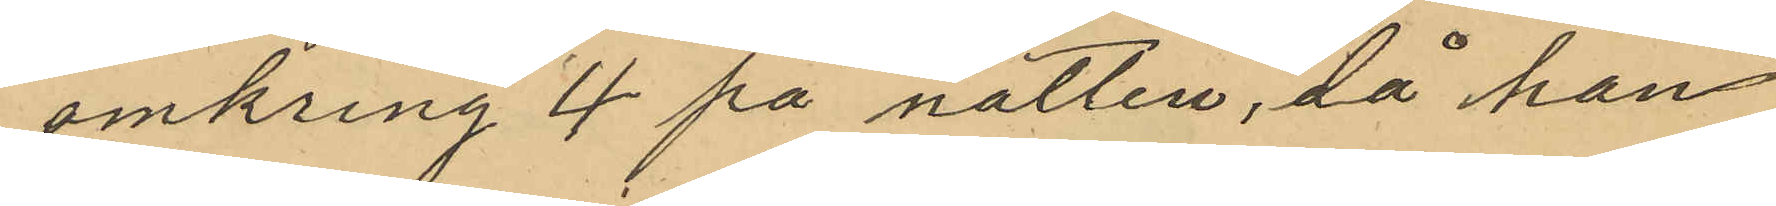omkring 4 på natten, då han
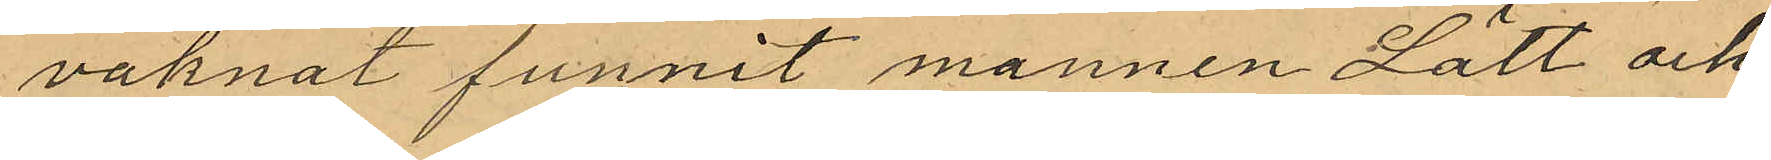vaknat funnit mannen Lätt och
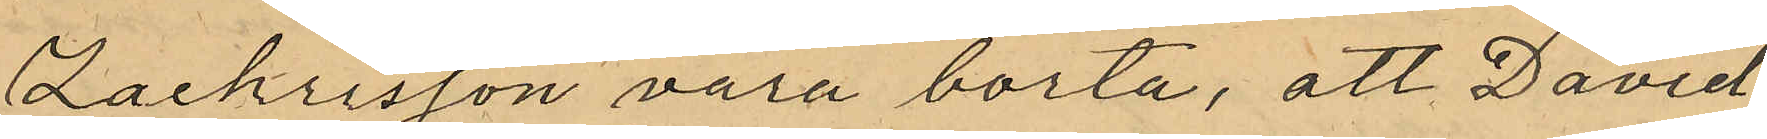Zachrisson vara borta, att David
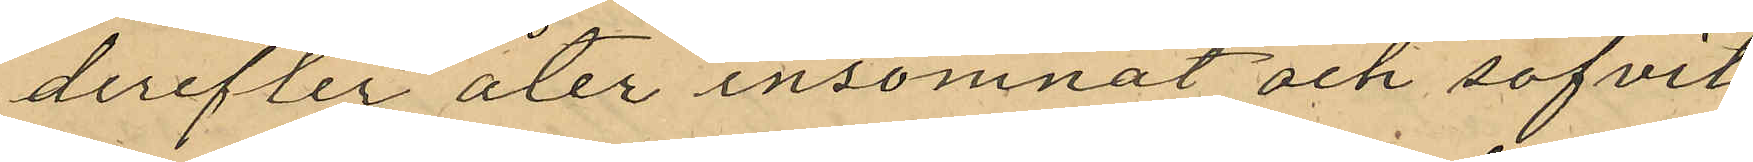derefter åter insomnat och sofvit
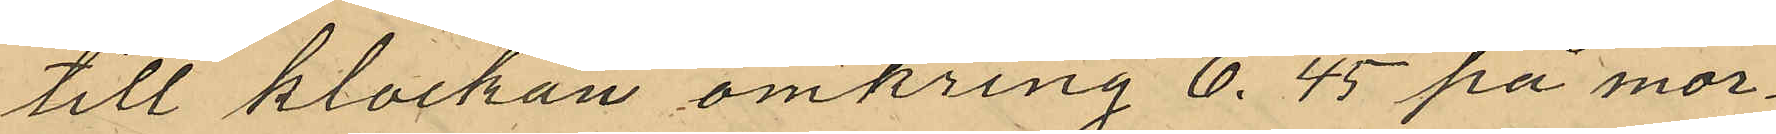till klockan omkring 6.45 på mor¬
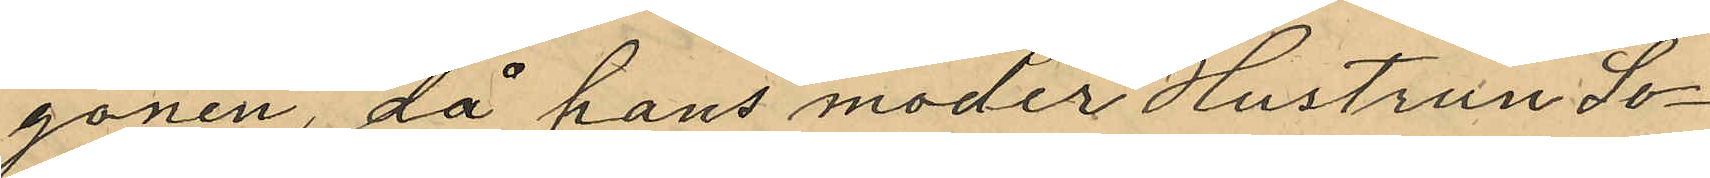gonen, då hans moder Hustrun So¬
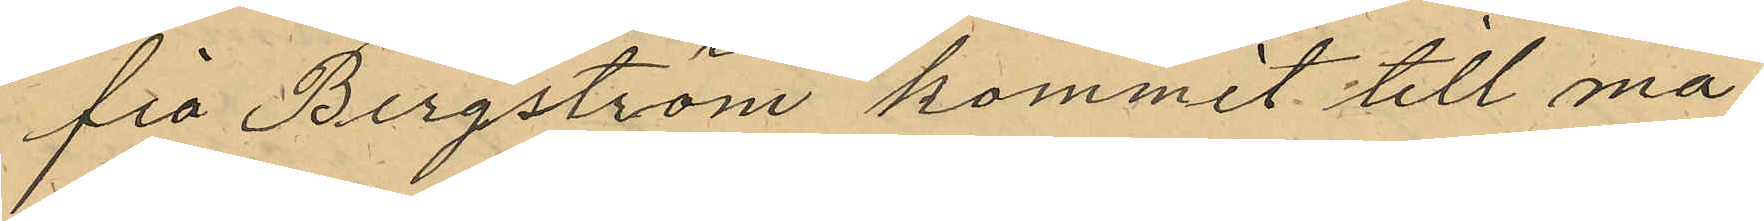fia Bergström kommit till ma¬
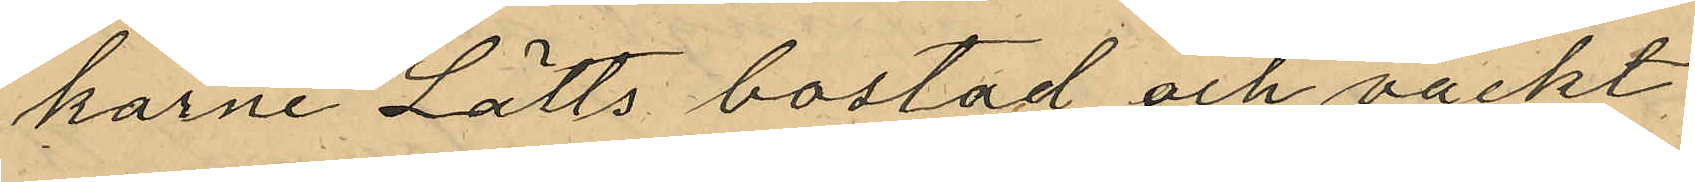karne Lätts bostad och väckt
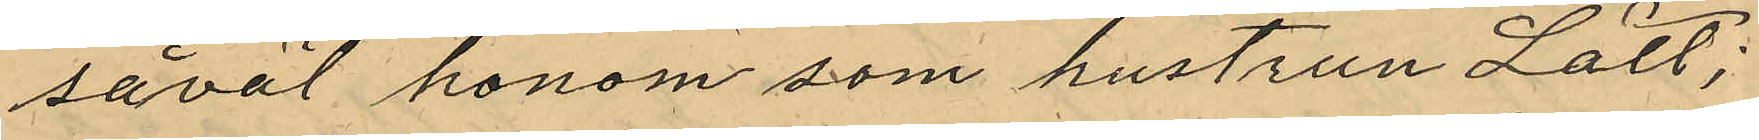såväl honom som hustrun Lätt;
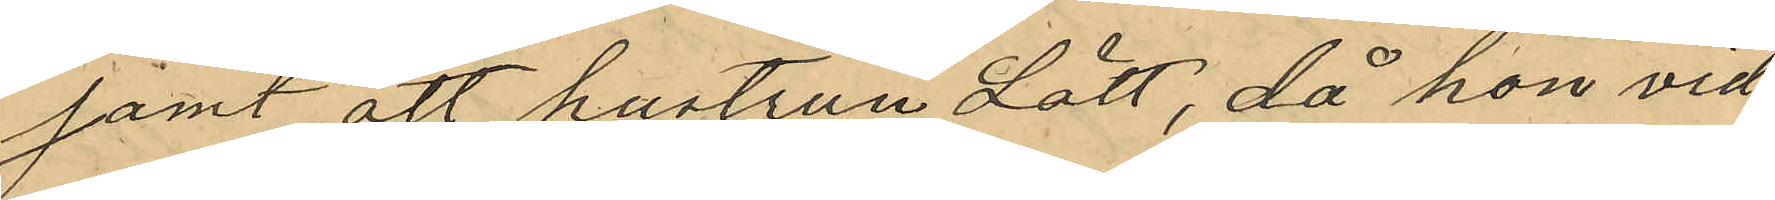samt att hustrun Lätt, då hon vid
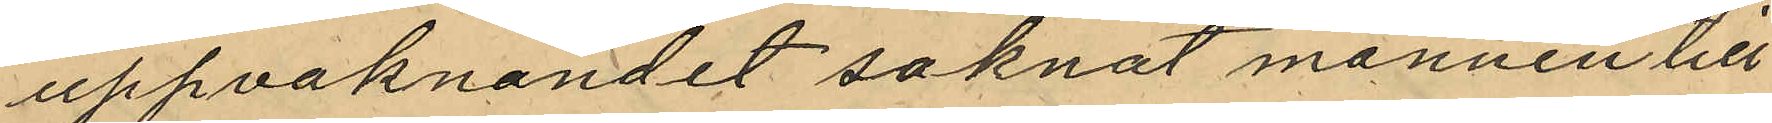uppvaknandet saknat mannen till
